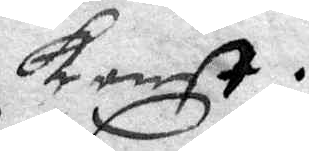konst.
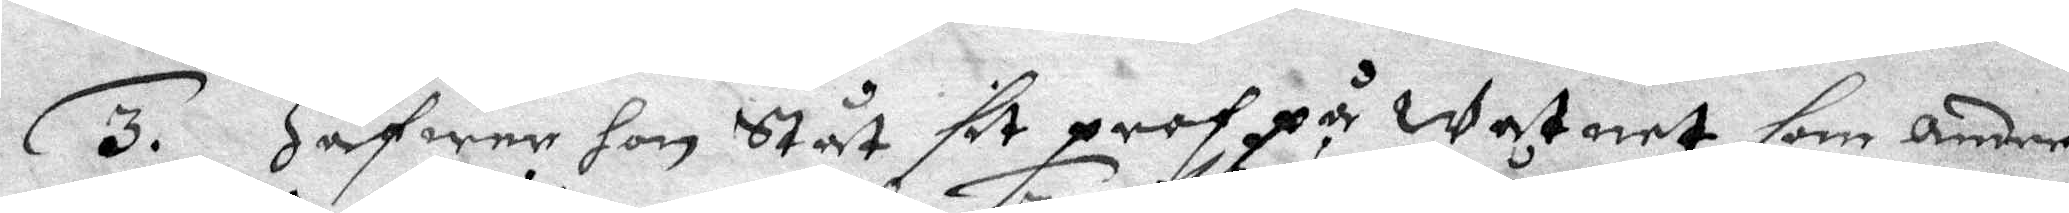3. hafwer hon Ståt sit prof på watnet som andre
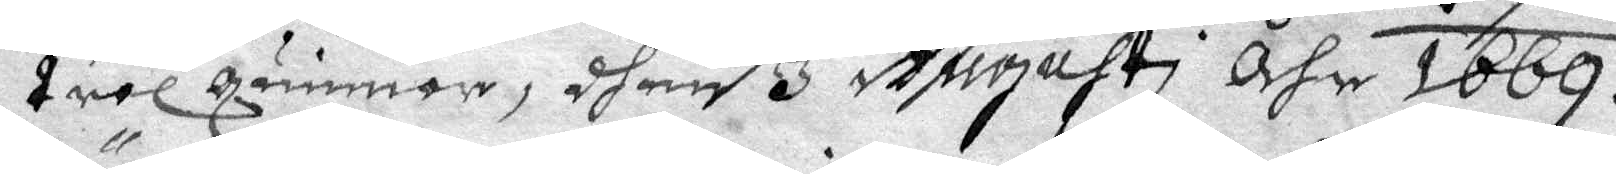trolquinnor, dhen 3 Augusti åhr 1669.
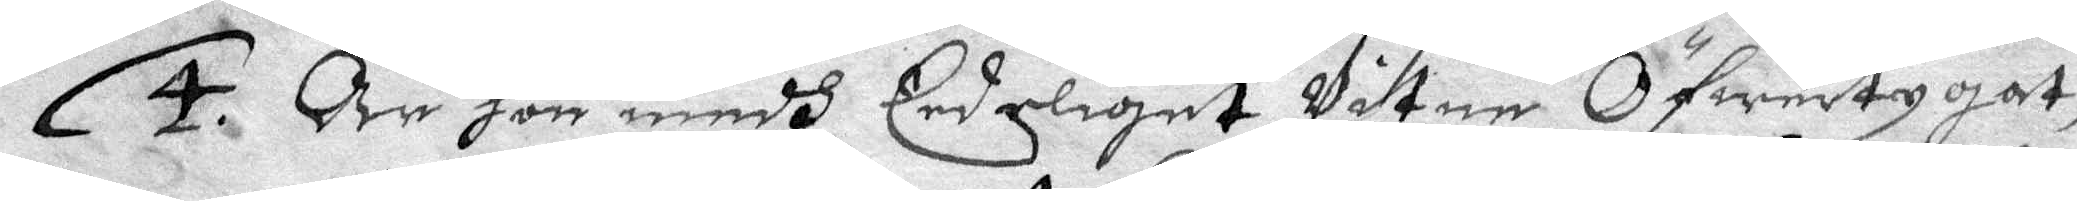4. Är hon medh Eedeliget Vitne Öfwertygat,
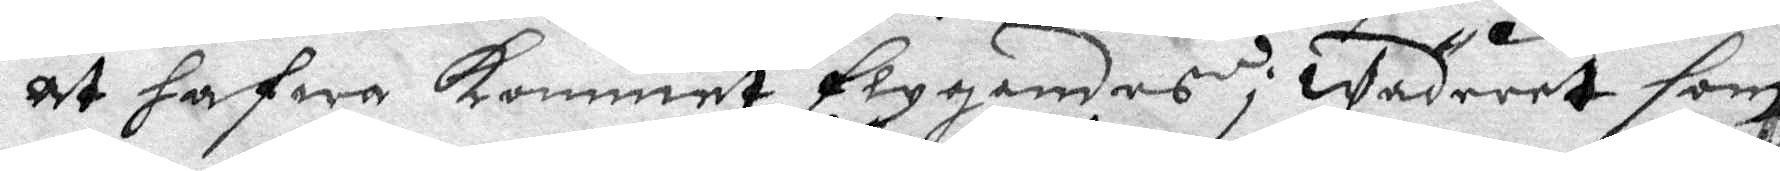at hafwa kommet flygandes i wädreet som
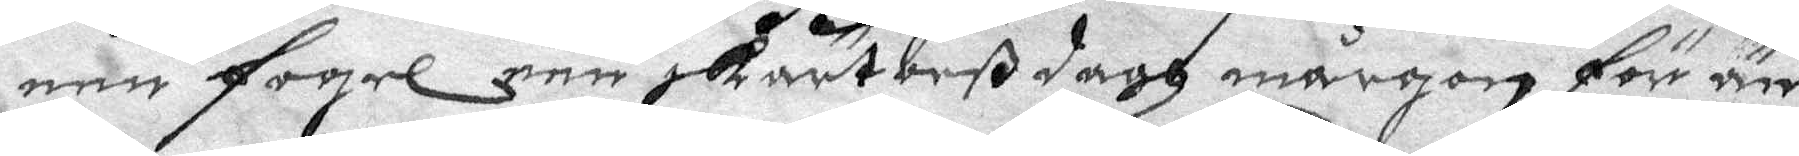een fogel een skärtorßdagh mårgon för än
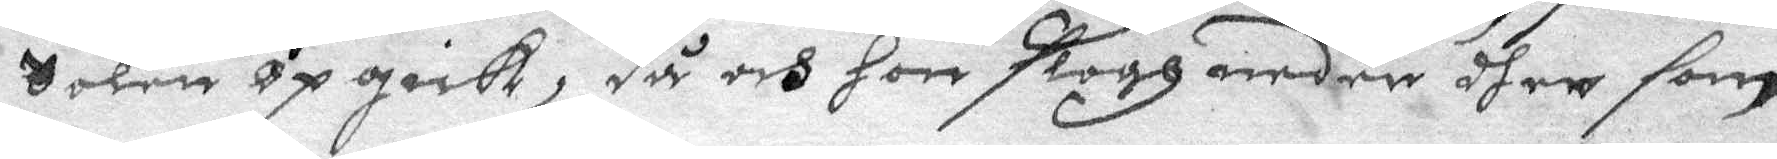Solen Opgick, då och hon slogh neder dher som
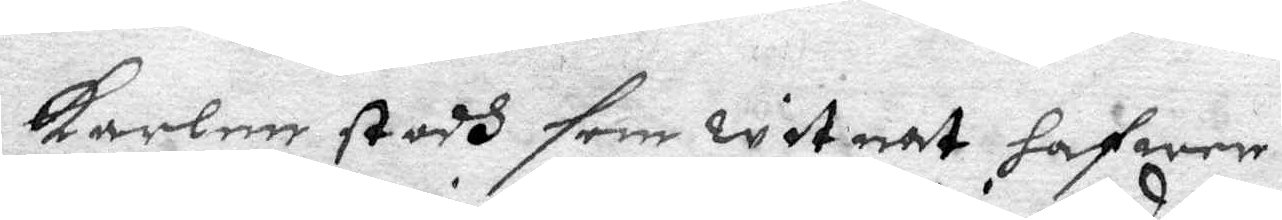karlen stodh som witnat hafwer.
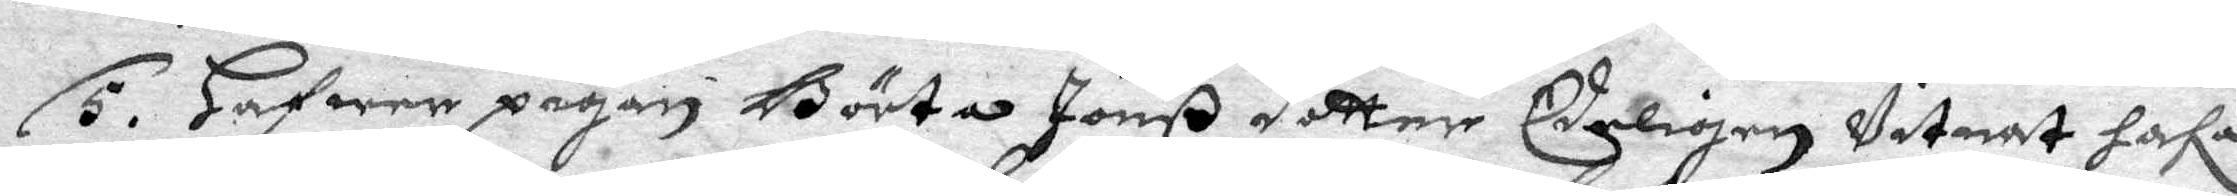5. Hafwer pigan Börta Jonß dotter Edeligen Vitnat hafa
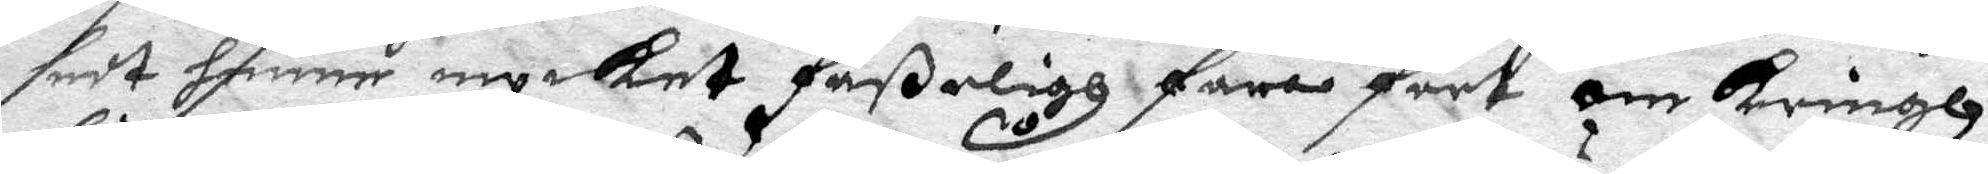sedt henne mycket faßeligh fara fort om kringh
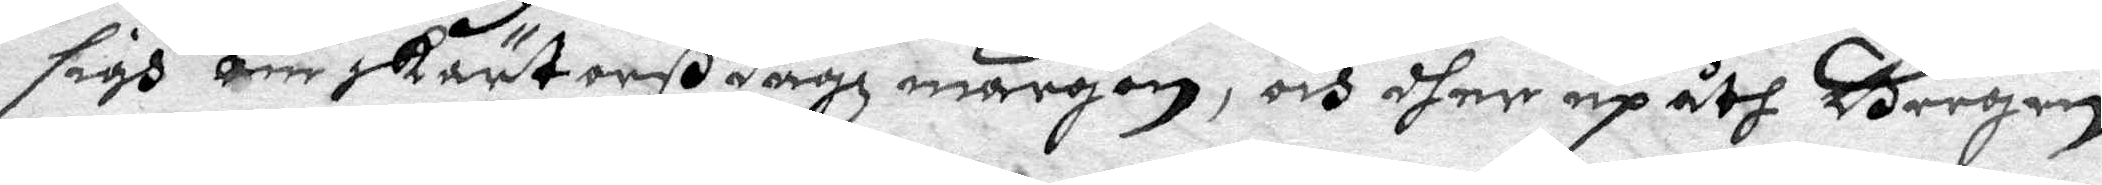sigh om skärtorßdagh mårgon, och dher up åth Bergen
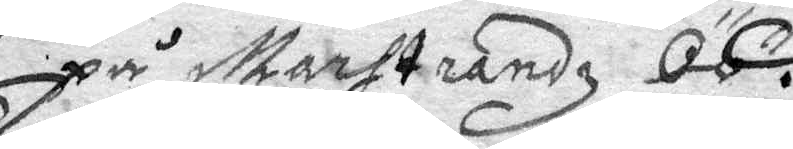på Marstrandz Öö.
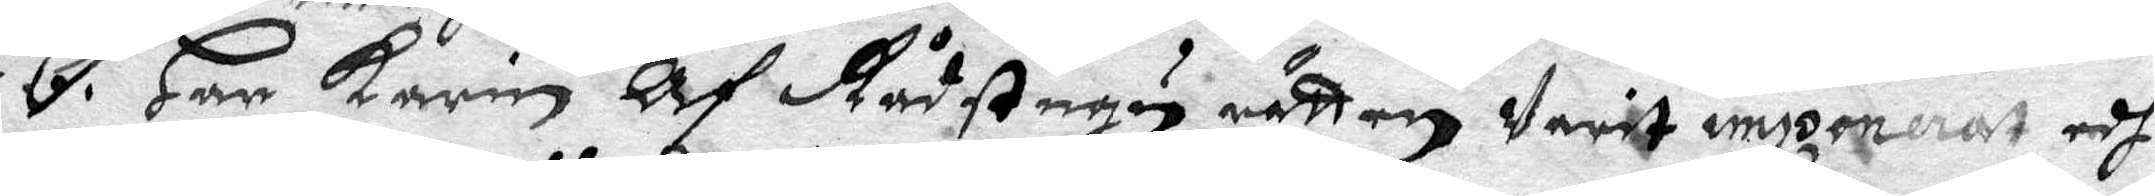6. Har Karin Af Rådstugu rätten Varit inzonerat edh¬
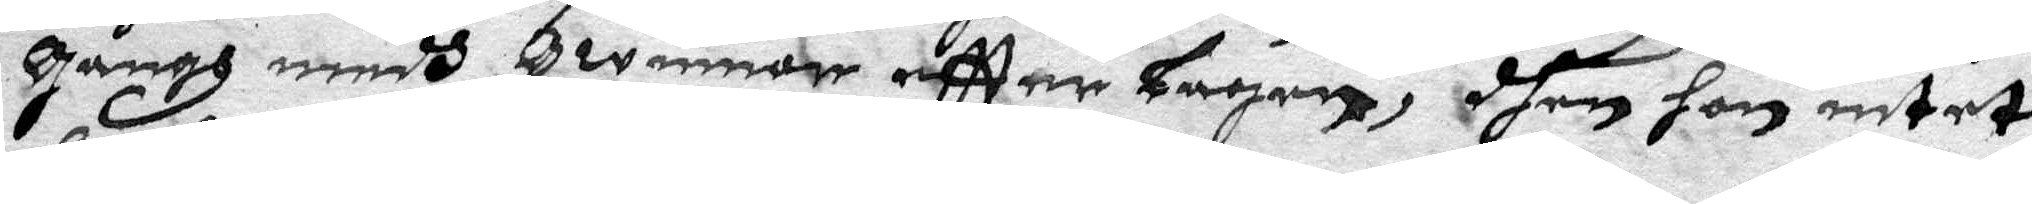gångh medh qwinnor eftter Lagen, dhen hon intet
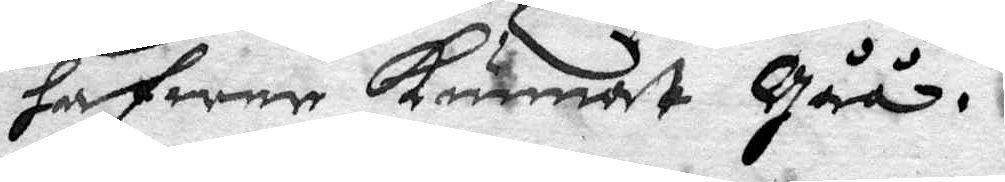hafwer kunnat gåå.
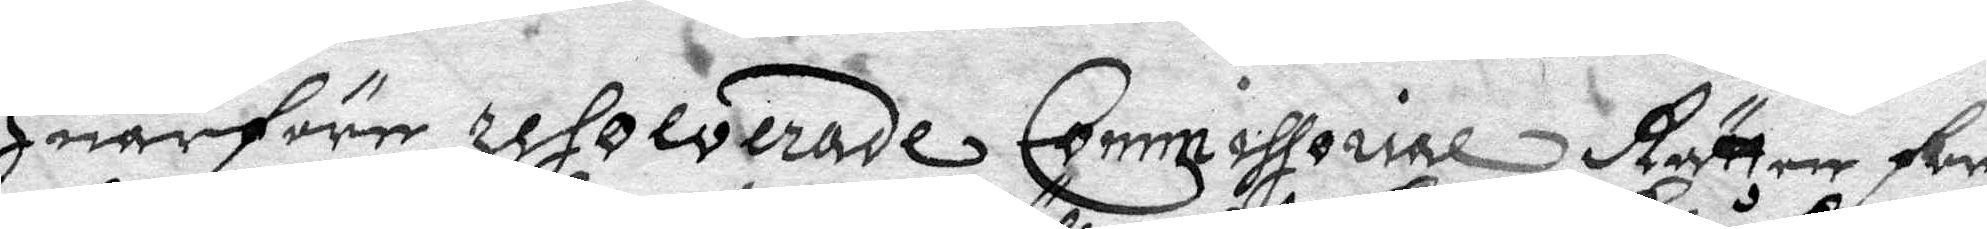Huarföre resolverade Commissorial Rätten för
